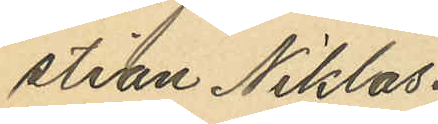stian Niklas¬
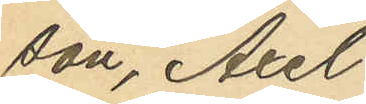son, Axel
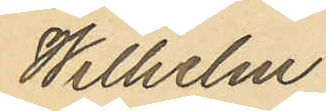Wilhelm
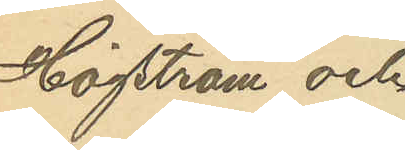Högström och
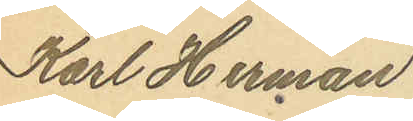Karl Herman
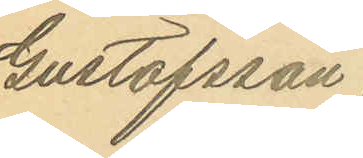Gustafsson.
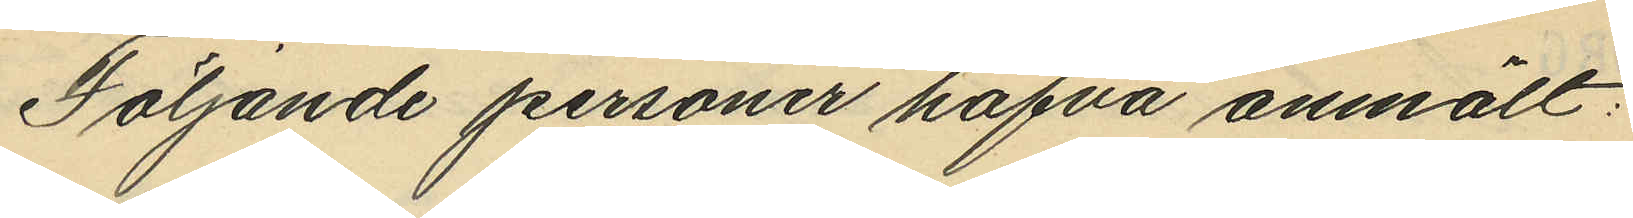Följande personer hafva anmält:
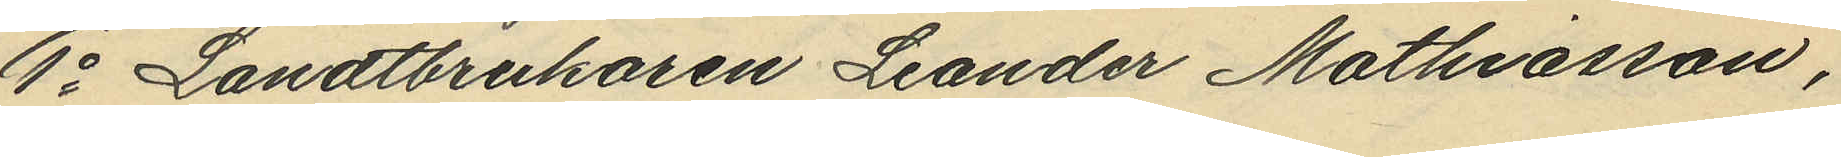1o Landtbrukaren Leander Mathiasson,
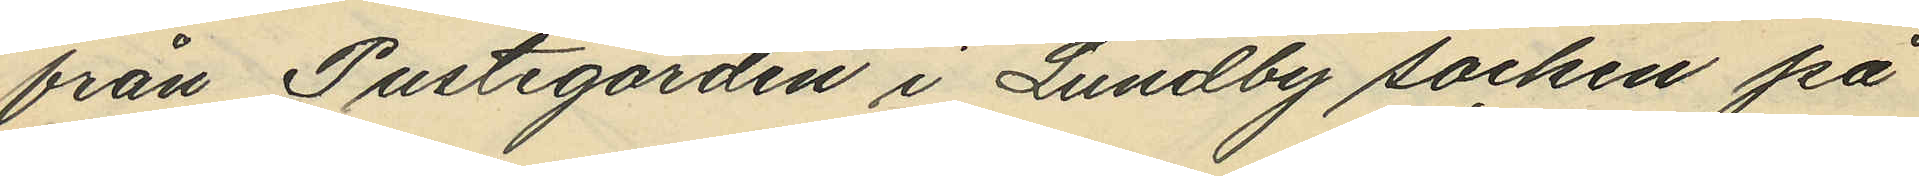från Pustegården i Lundby socken på
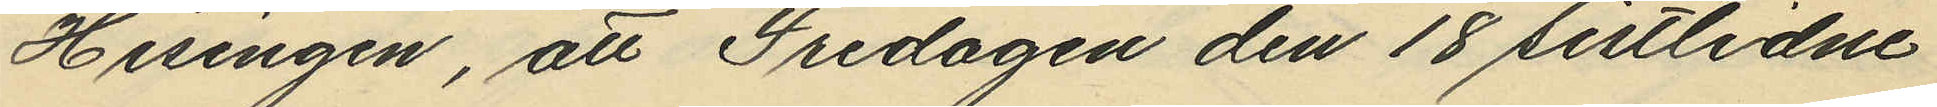Hisingen, att Fredagen den 18 sistlidne
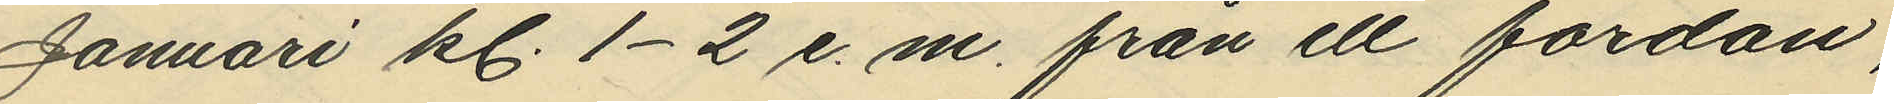Januari kl. 1-2 e. m. från ett fordon,
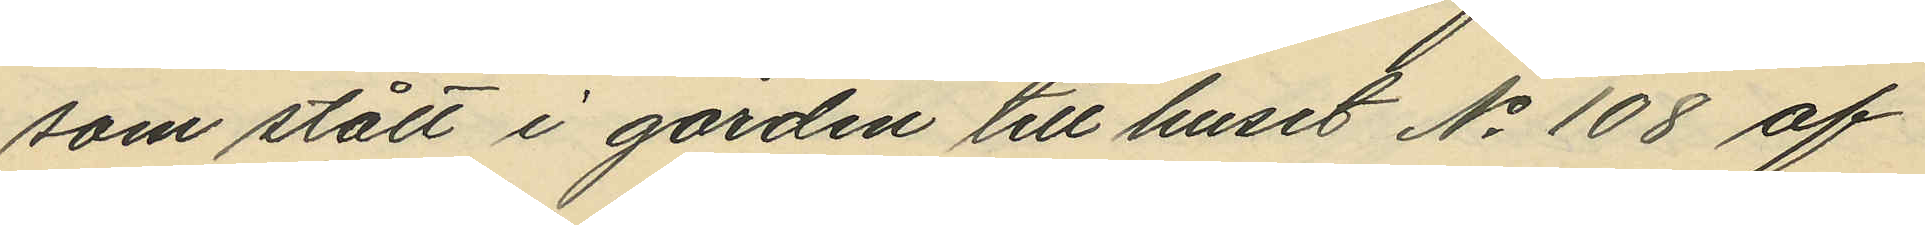som stått i gården till huset No 108 af
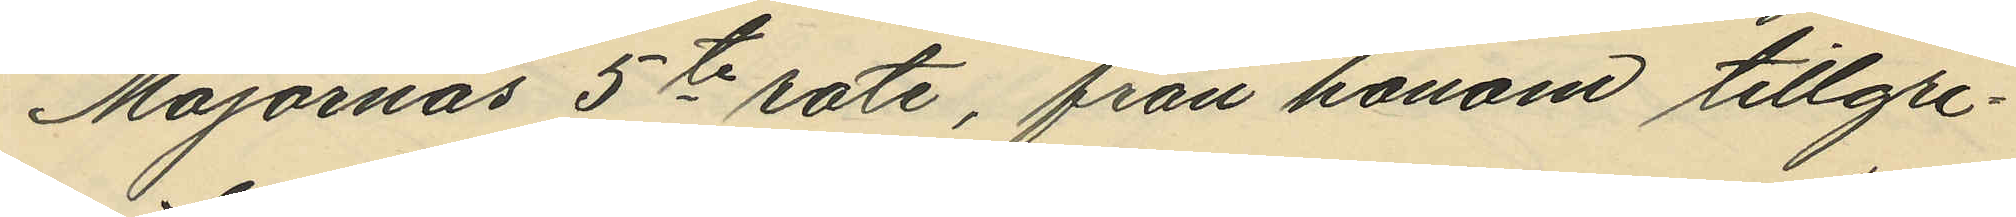Majornas 5te rote, från honom tillgri¬
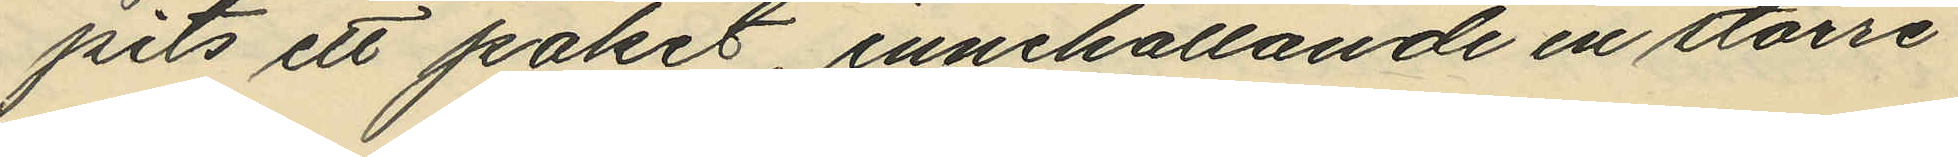pits ett paket, innehållande en större
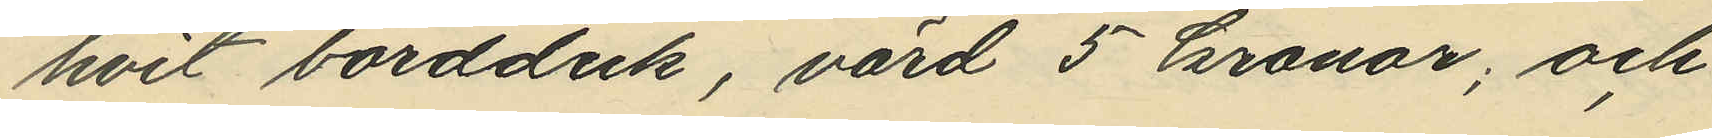hvit bordduk, värd 5 kronor; och
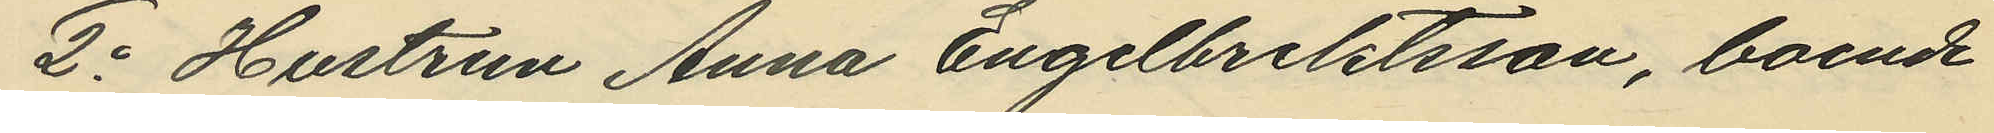2o Hustrun Anna Engelbrektsson, boende
